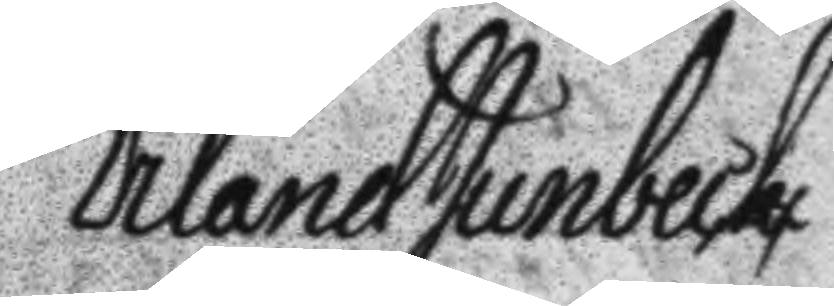Erland Junbeck
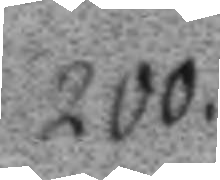200.
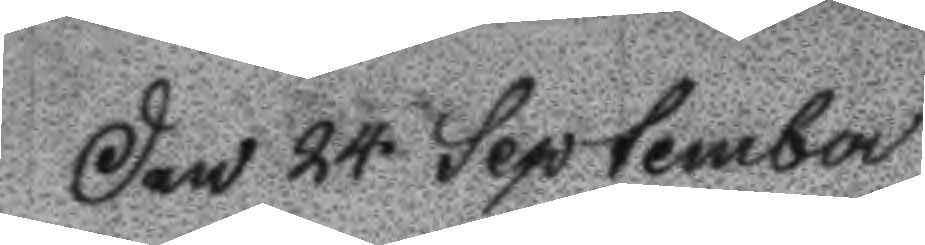Den 24 September
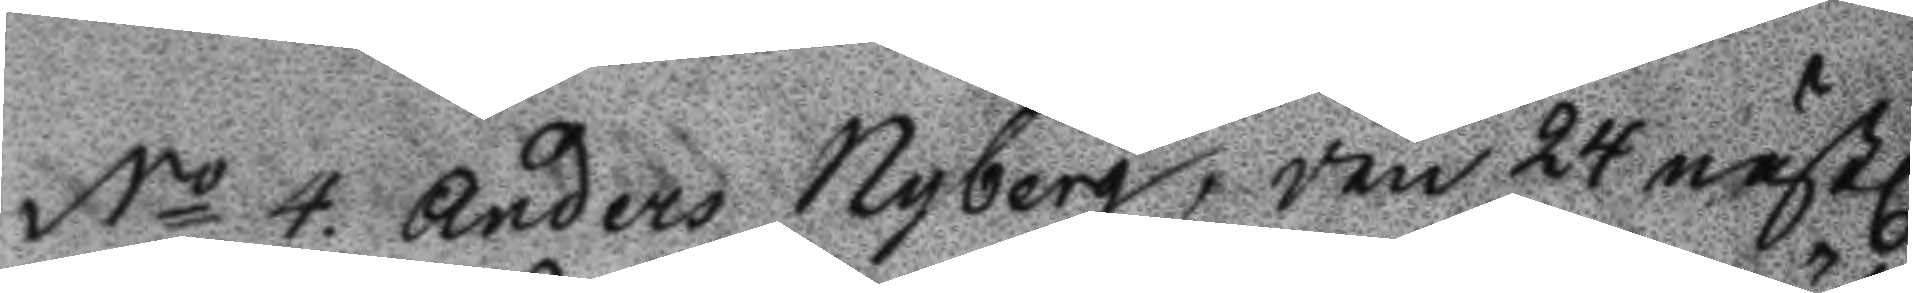No 4. Anders Nyberg, den 24 nästl
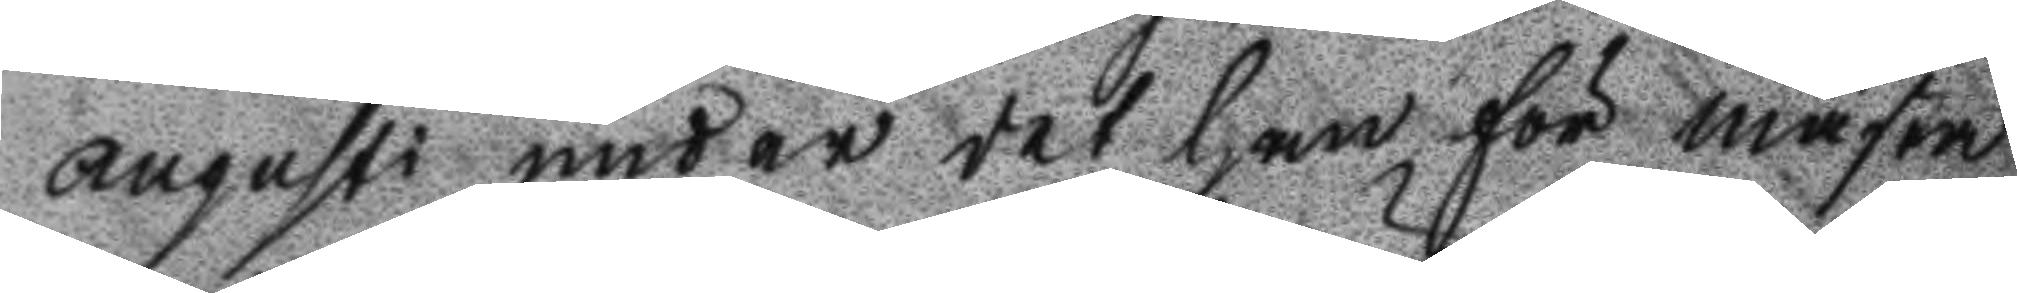Augusti under det han för mästa
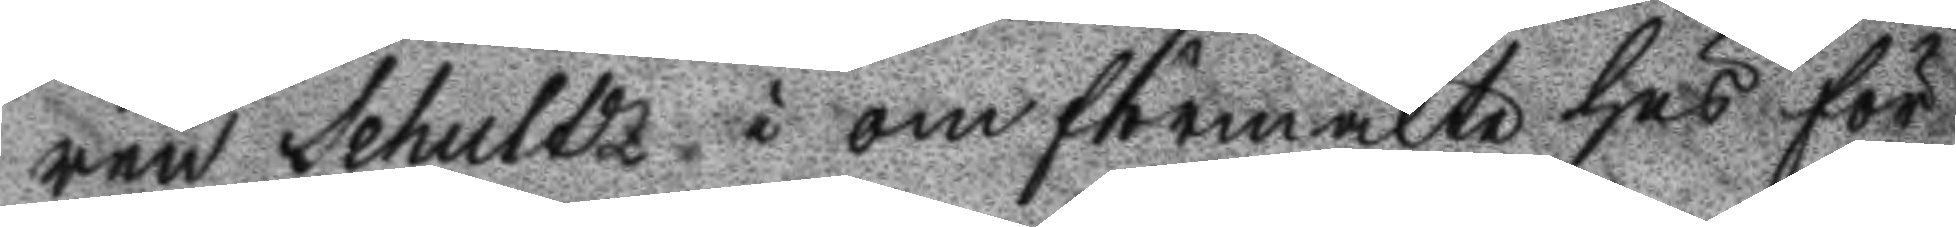ren Schultz i omförmälte hus för
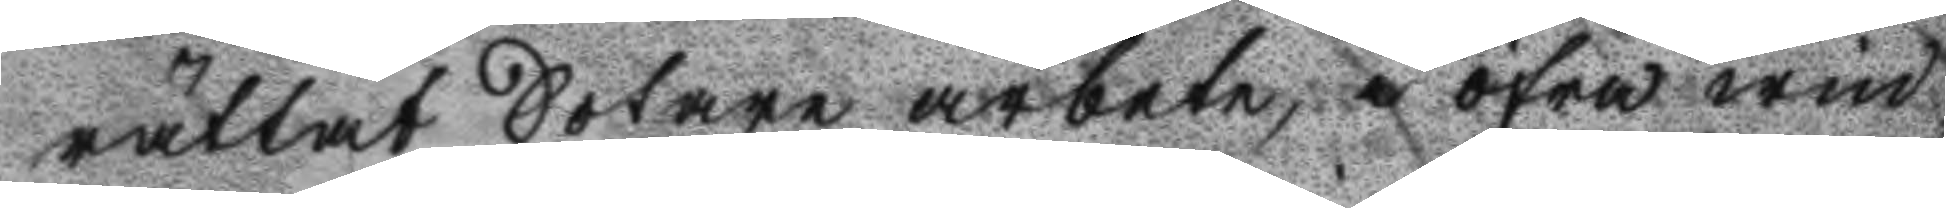rättat Sotare arbete, i öfra win¬
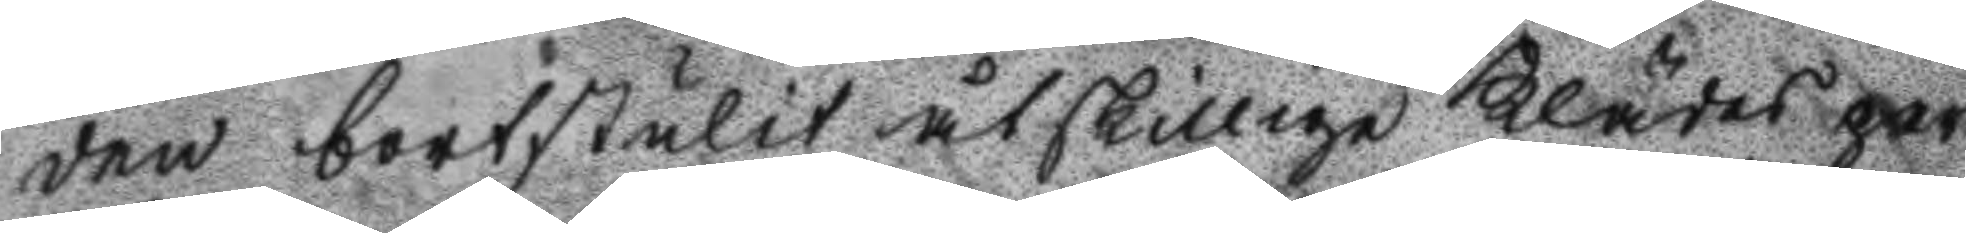den bortstulit åtskilliga Klädes per
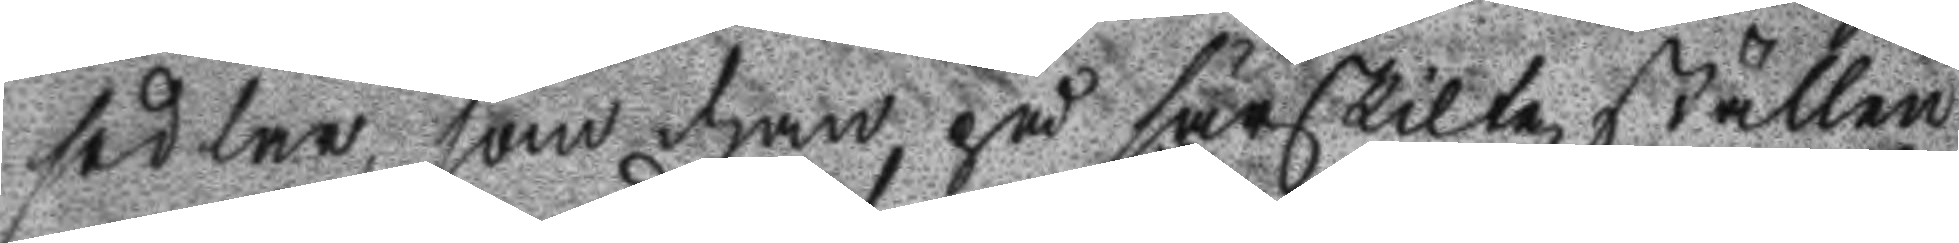sedlar, som han på särskilta ställen
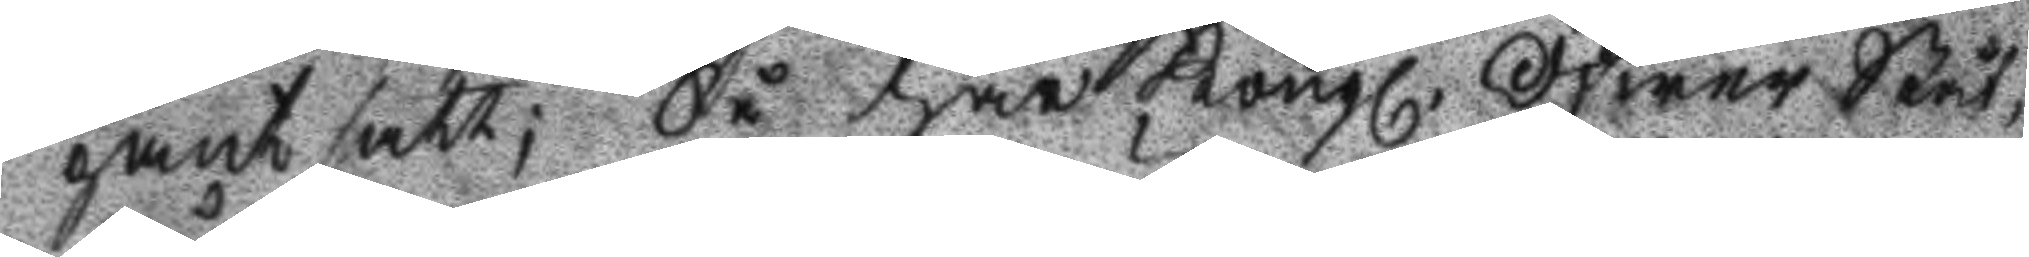pantsatt; Så har Kongl. Öfwer Ståt¬
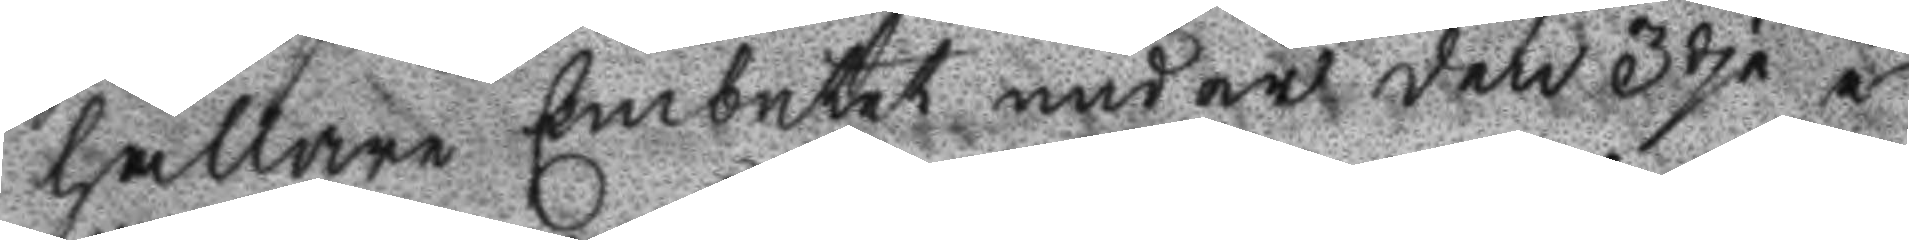hållare Embetet under den 3dje i
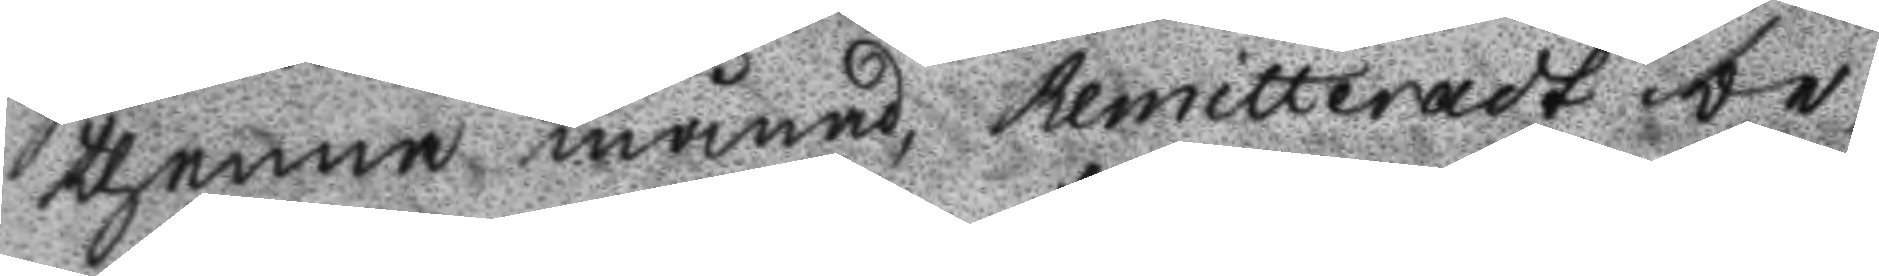thenna månad Remitteradt be¬
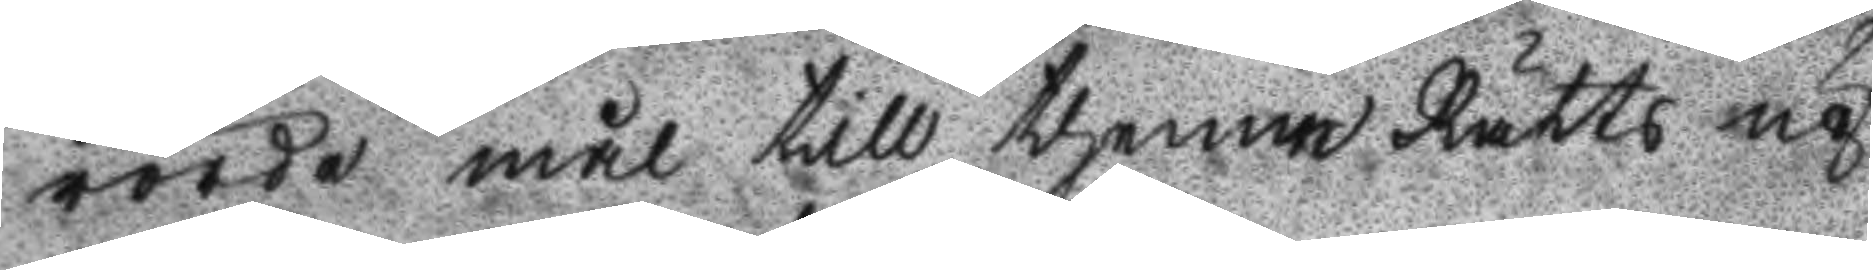rörde mål till thenne Rätts up
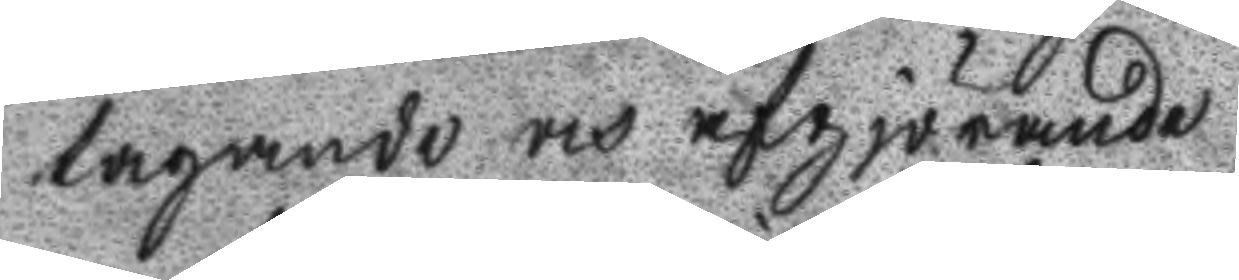tagande och afgjörande.
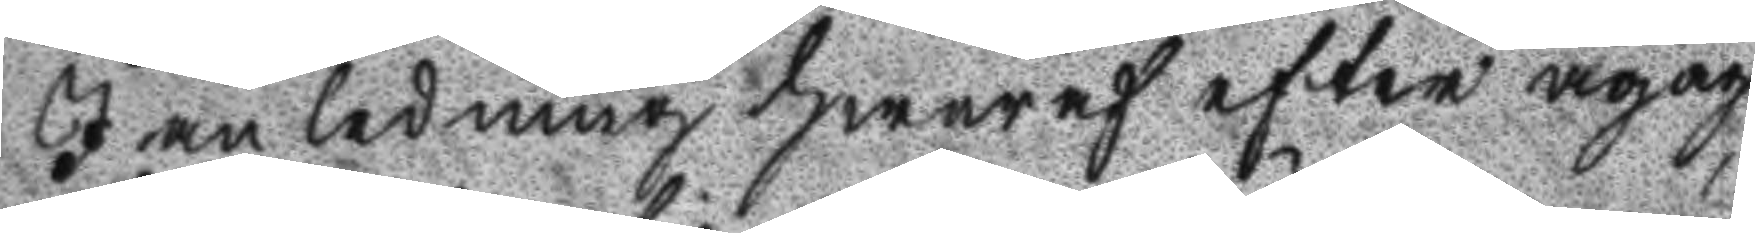I anledning hwaraf efter ågåg
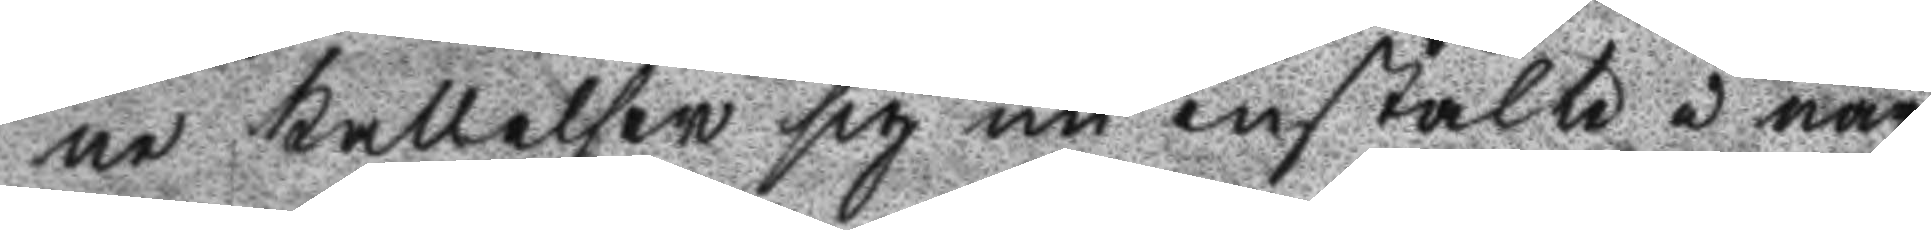ne kallelse sig nu instälte i när
